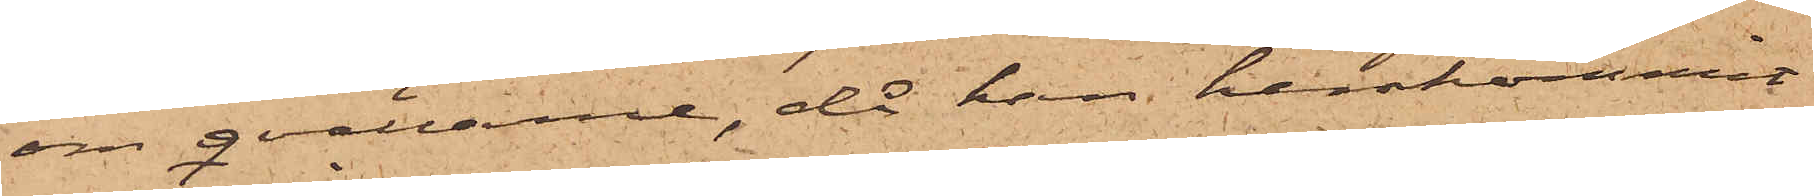om qvällarne, då han hemkommit
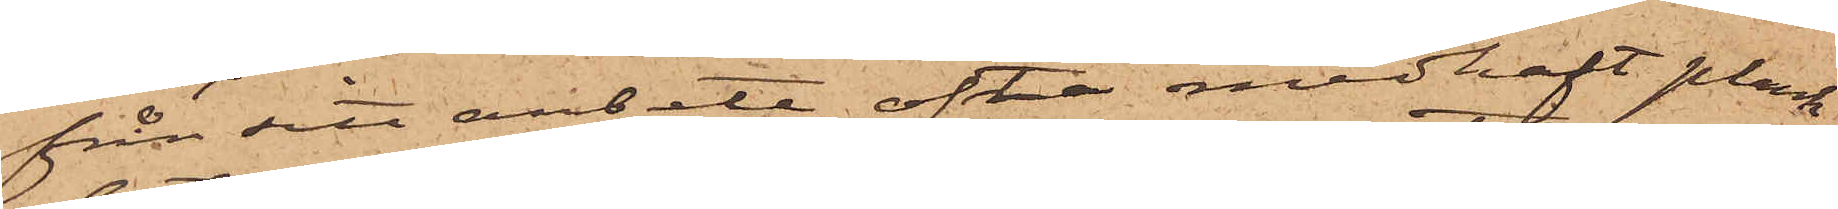från sitt arbete, ofta medhaft plank¬
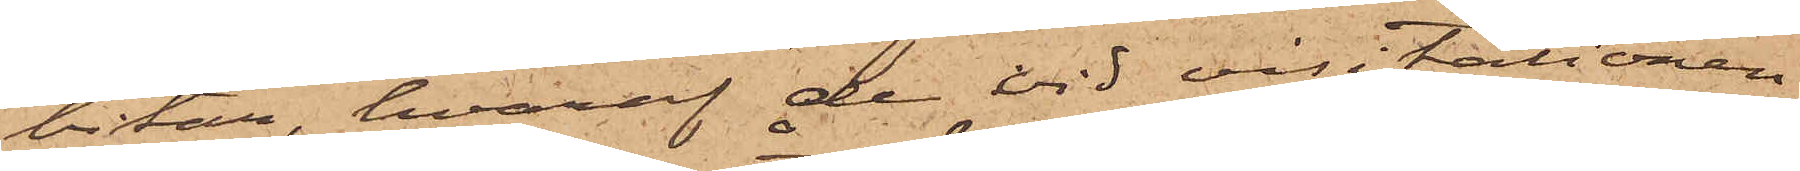bitar, hvaraf de vid visitationen
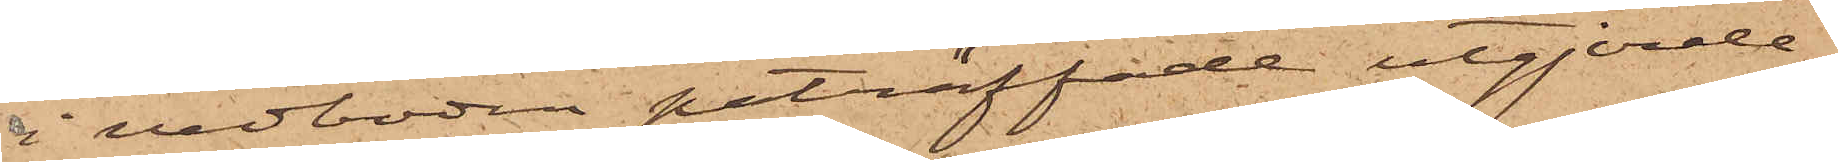i vedboden påträffade utgjorde
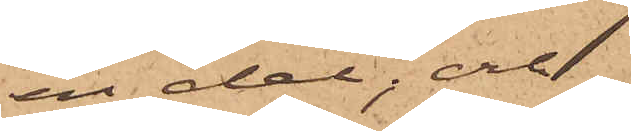en del; och
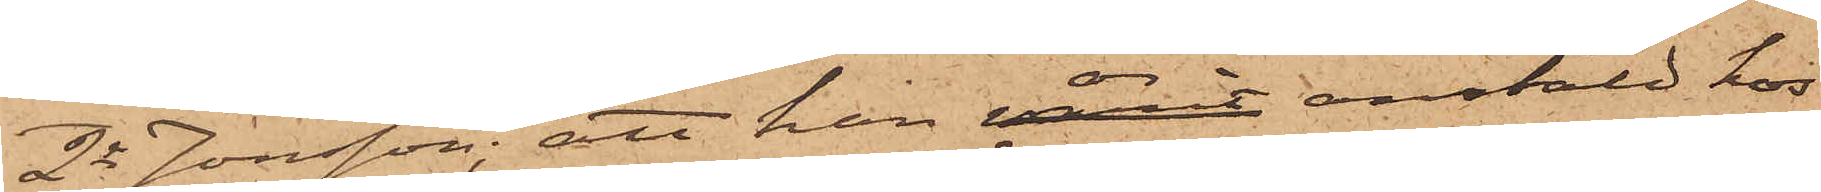2o Jonsson; att han är anstäld hos
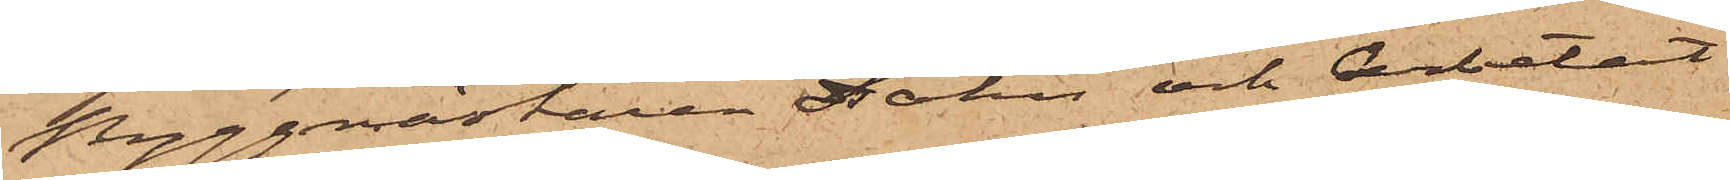Byggmästaren Dähn och Arbetat
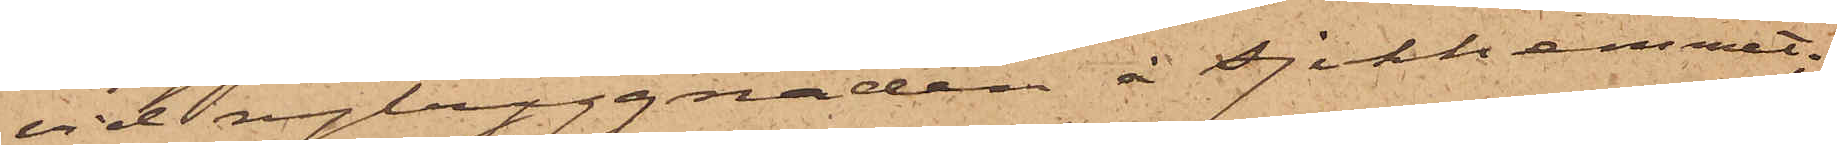vid nybyggnaden å sjukhemmet,
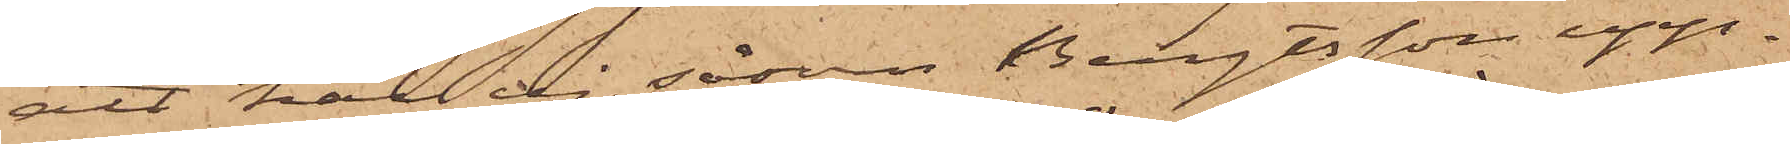att han ej, såsom Bengtsson upp¬
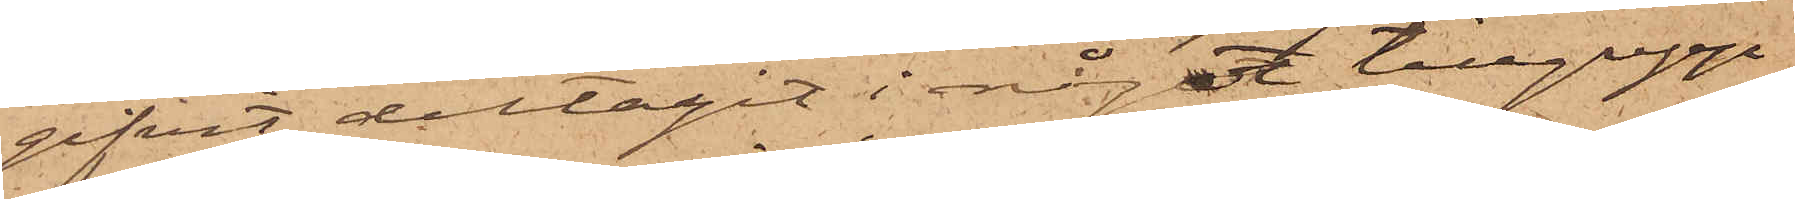gifvit, deltagit i något tillgrepp
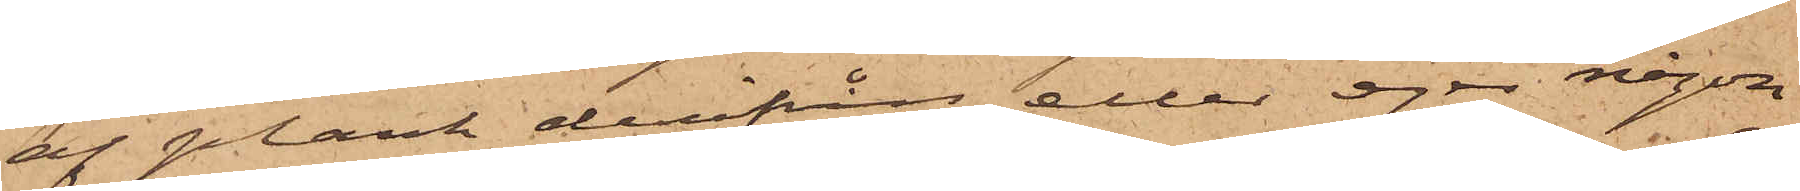af plank derifrån eller eger någon
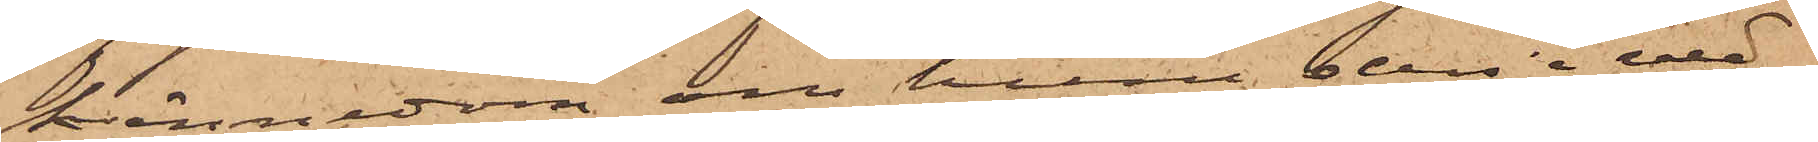kännedom om huru den i ved¬
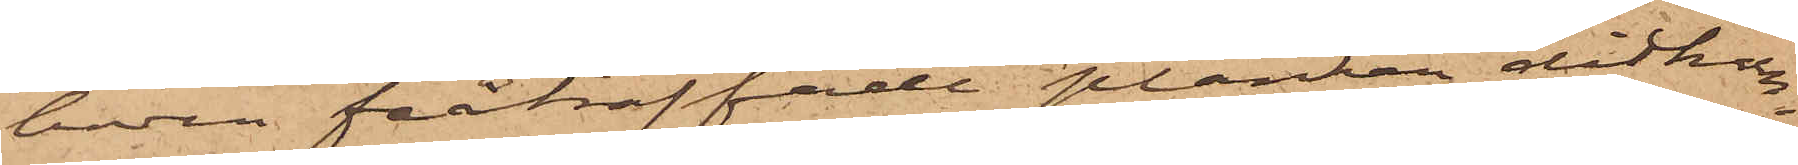boden påträffade plankan ditkom¬
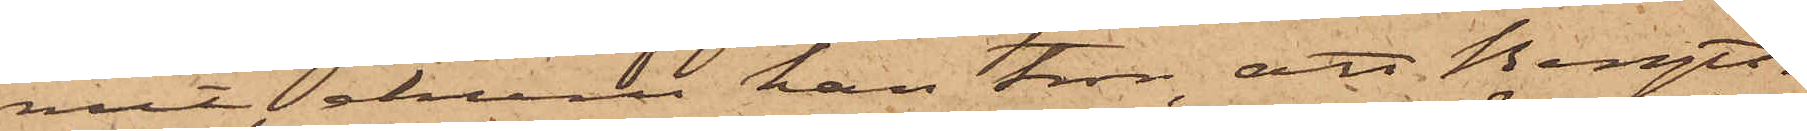mit, ehuru han tror, att Bengts¬
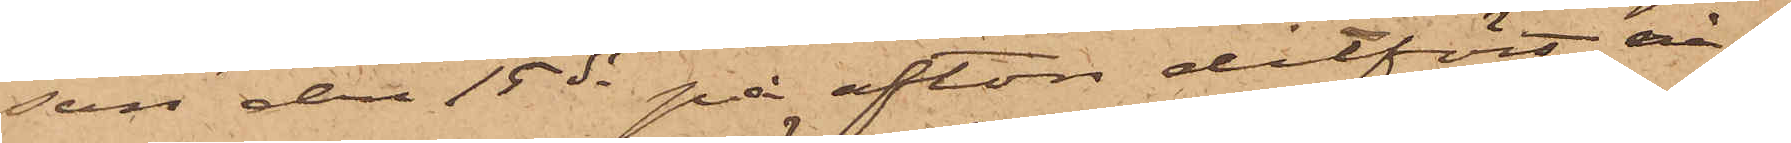son den 15 ds på afton ditfört nå¬
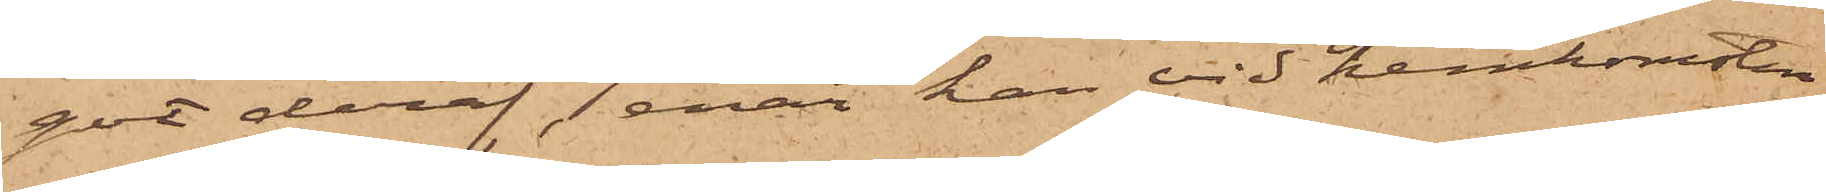got deraf, enär han vid hemkomsten
